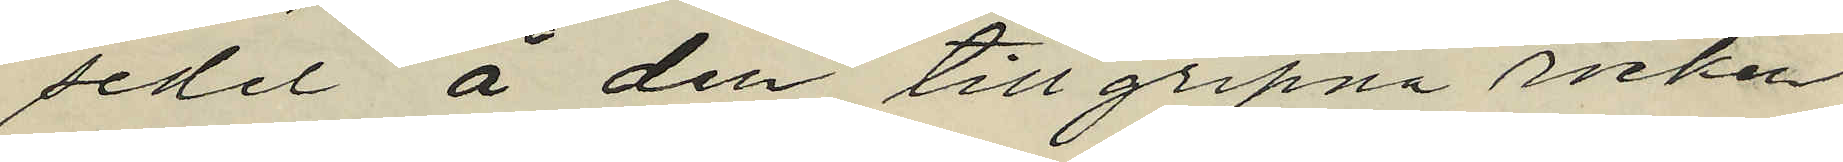sedel å den tillgripna rocken
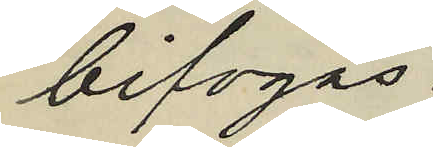bifogas.
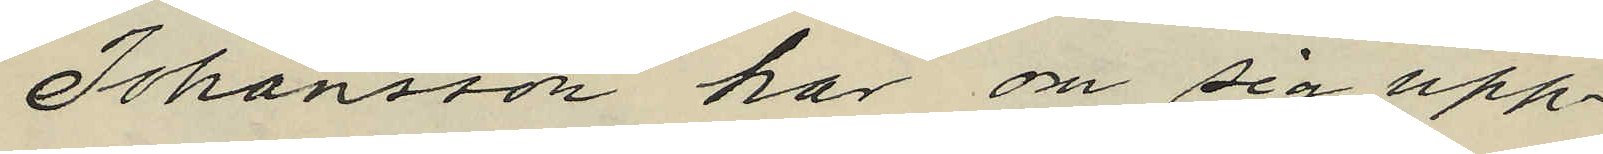Johansson har om sig upp¬
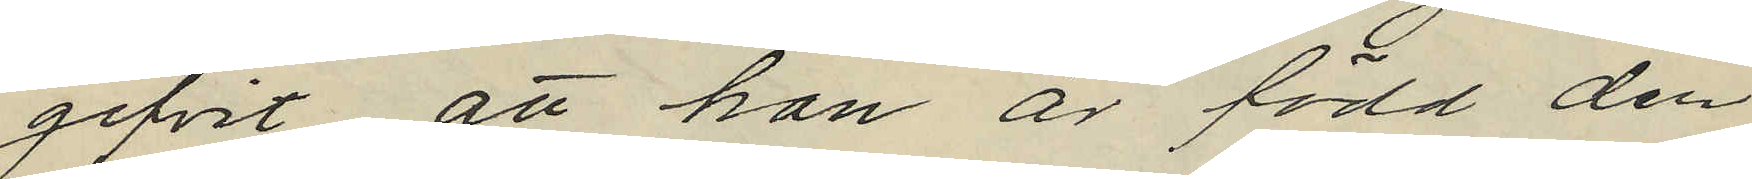gifvit, att han är född den
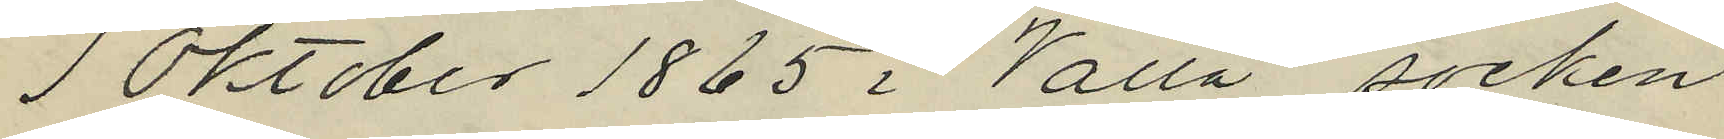1 Oktober 1865 i Valla socken
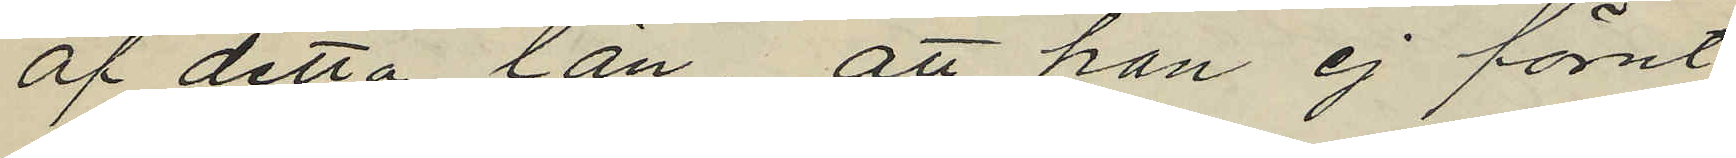af detta län, att han ej förut
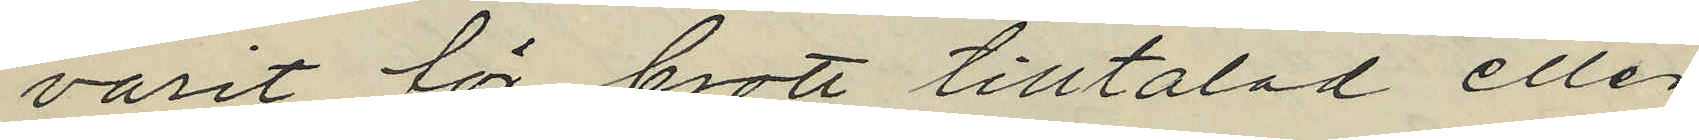varit för brott tilltalad eller
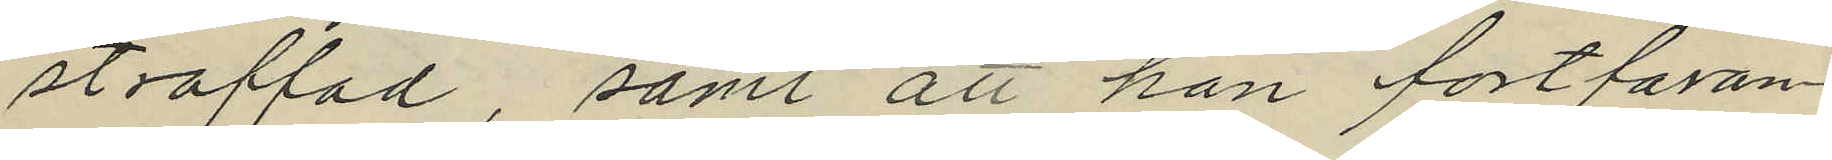straffad samt att han fortfaran¬
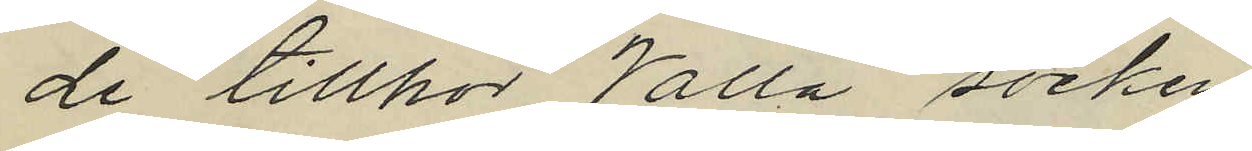de tillhör Walla socken.
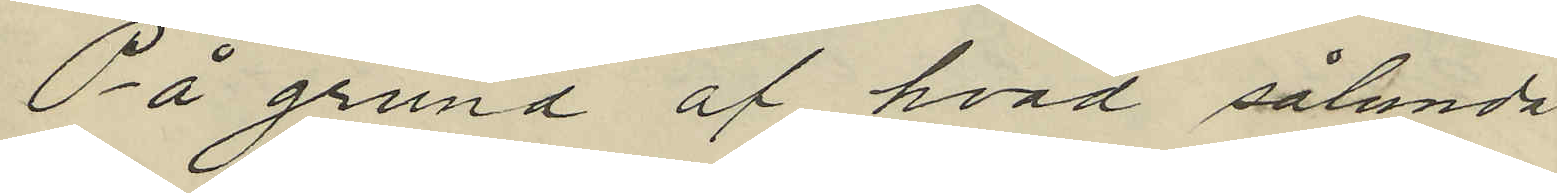På grund af hvad sålunda
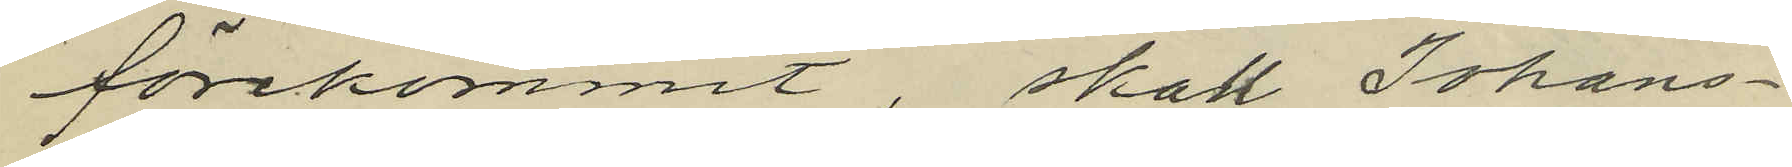förekommit, skall Johans¬
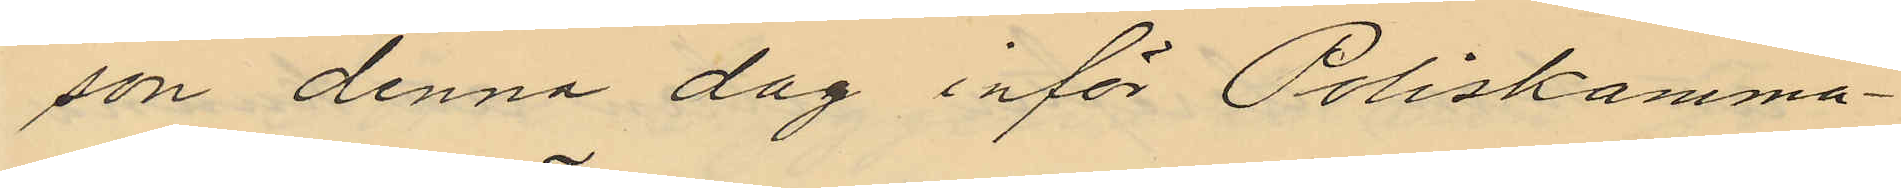son denna dag inför Poliskamma¬
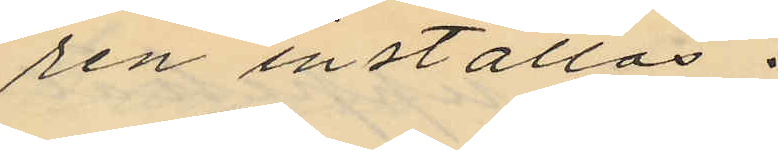ren inställas.
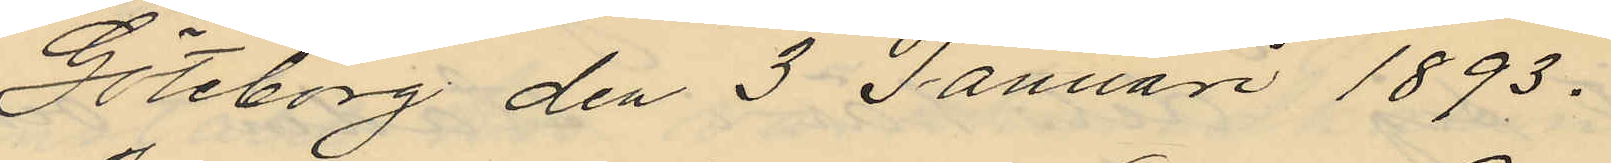Göteborg den 3 Januari 1893.
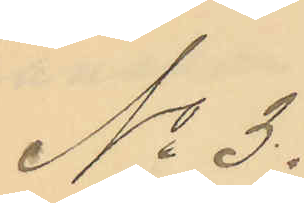No 3.
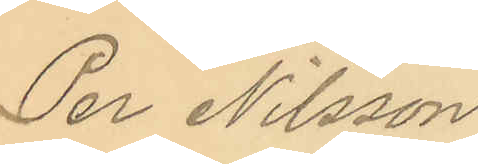Per Nilsson
